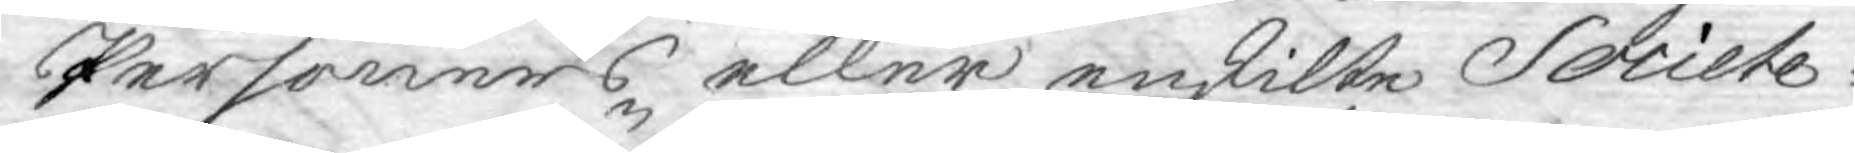Personers eller enskilte Societe¬
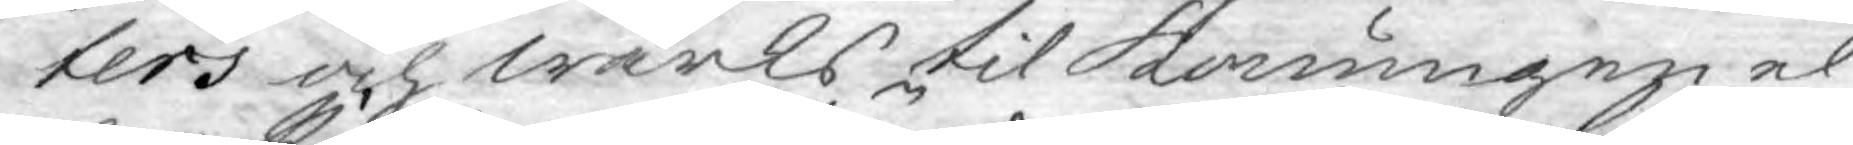ters och wärks til Konungen el¬
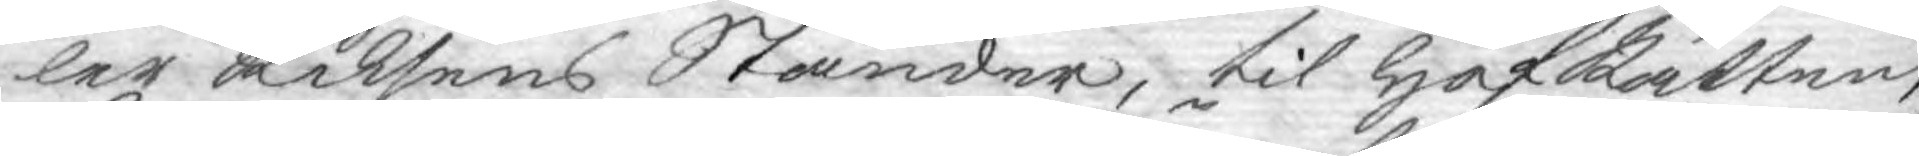ler Riksens Ständer, til HofRätten,
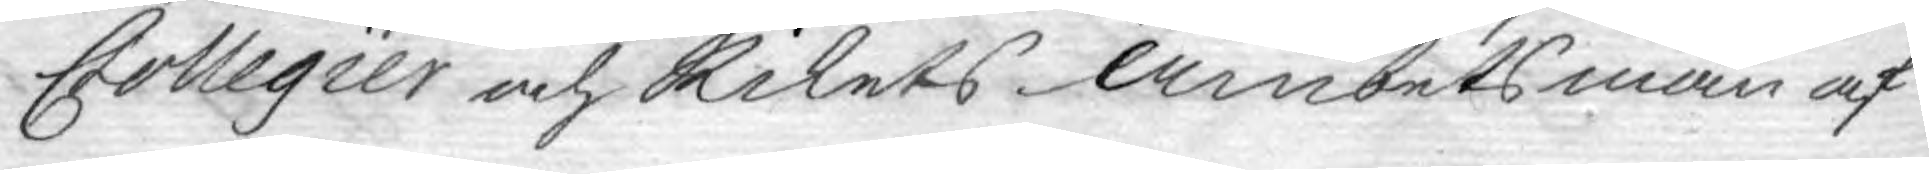Collegier och Rikets Ämbetsmän af¬
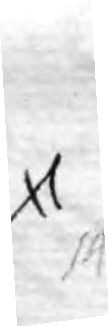14
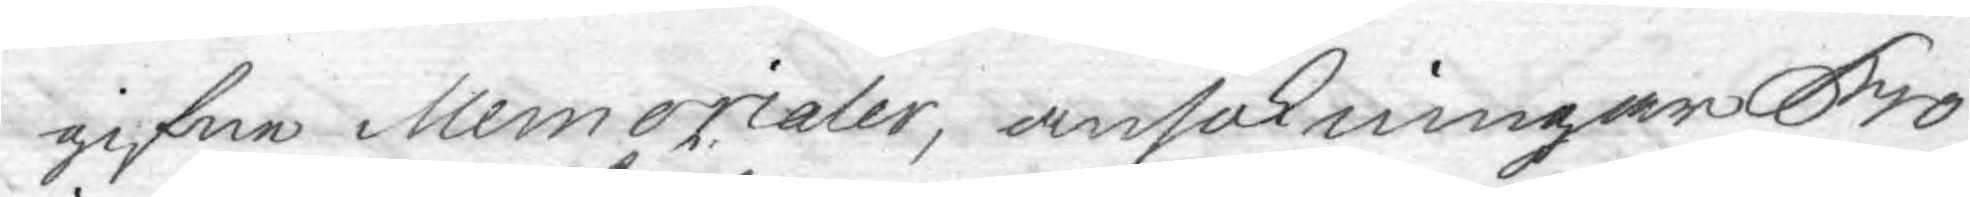gifne Memorialer, ansökningar Pro
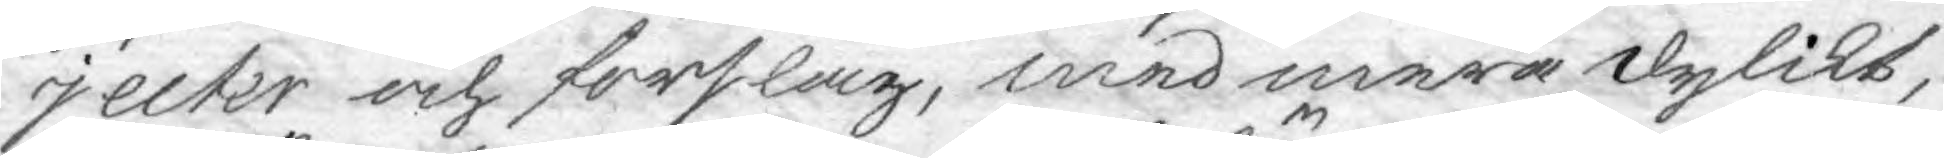jecter och förslag, med mera dylikt,
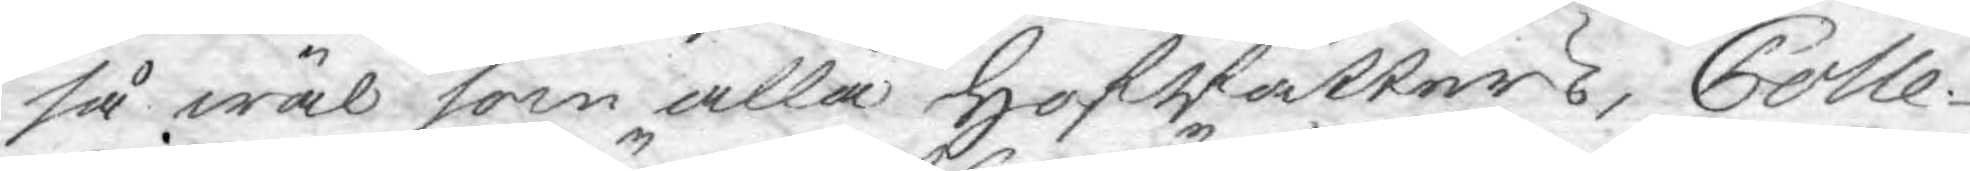så wäl som alla HofRätters, Colle¬
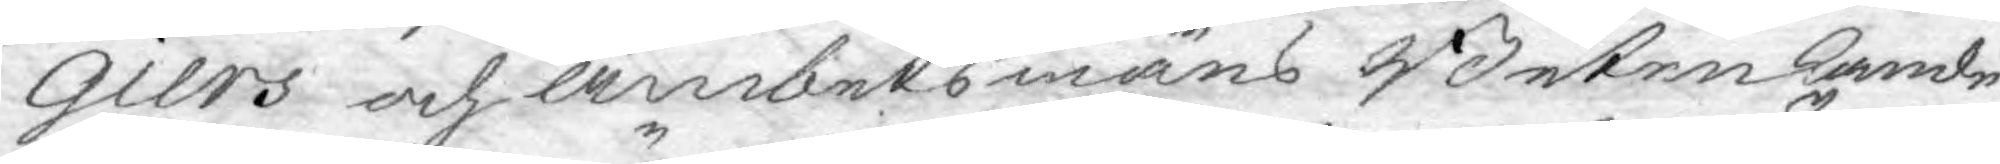giers och Ämbetsmäns Betenkande,
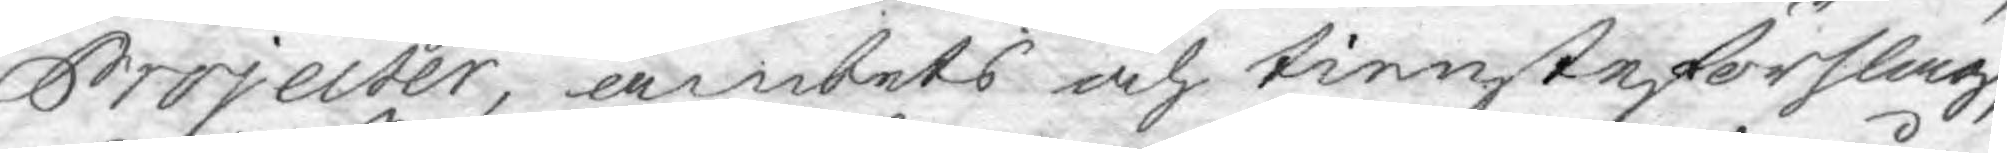Projecter, ämbets och tiensteförslag,
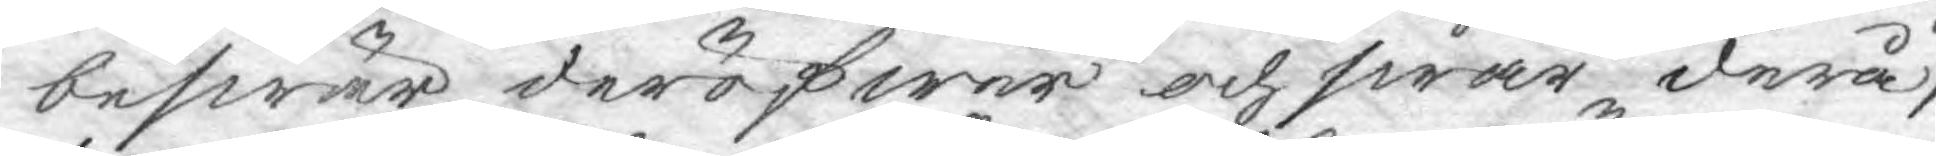beswär deröfwer och swar derå,
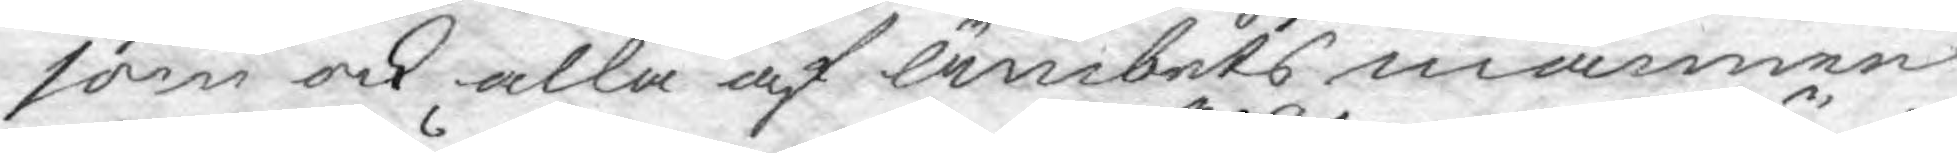som ock alla af Ämbets männen
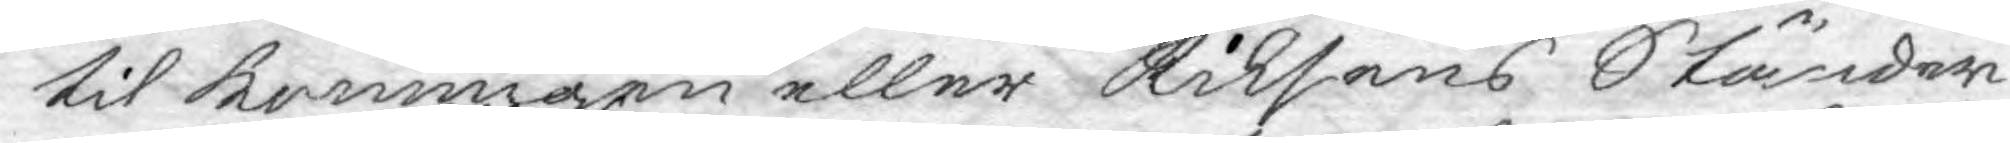til konungen eller Riksens Ständer
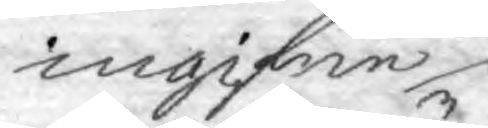ingifne
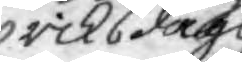riksdags
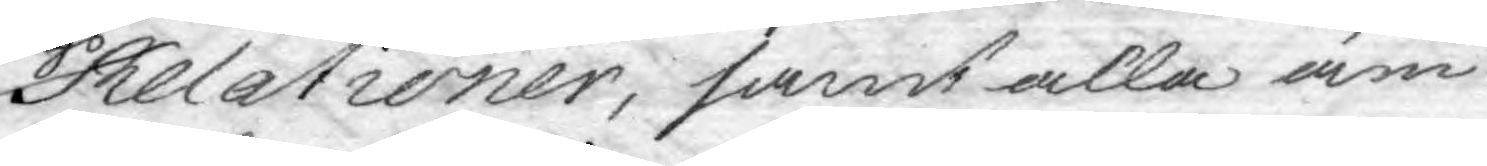Relationer, samt alla äm¬
